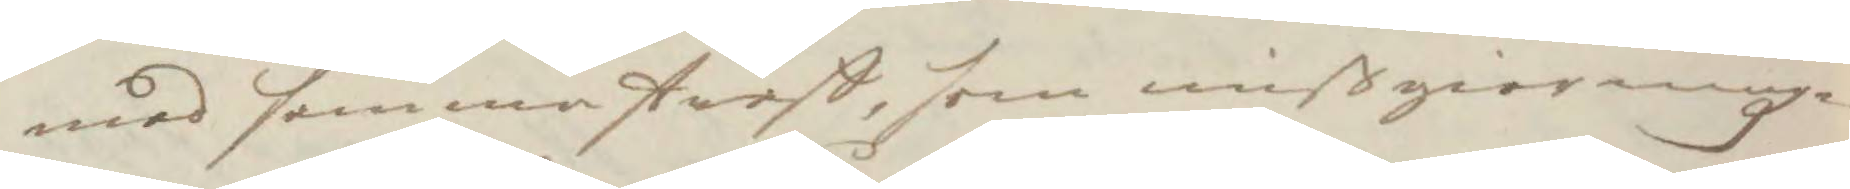med samma straff, som mißgiärningz¬
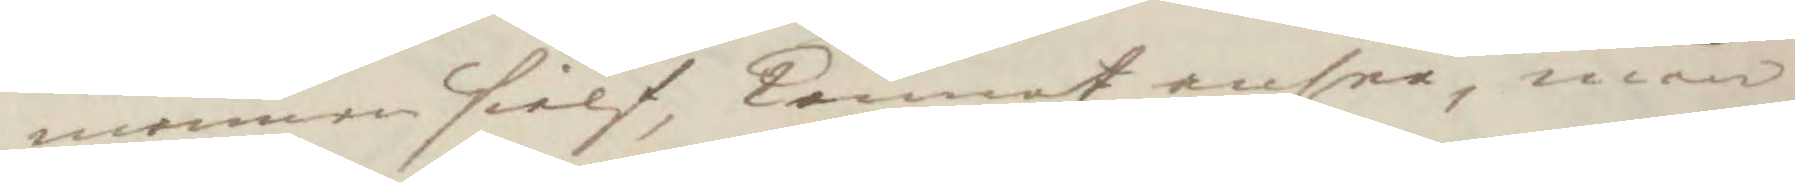mannen sielf, kunnat ansee, men
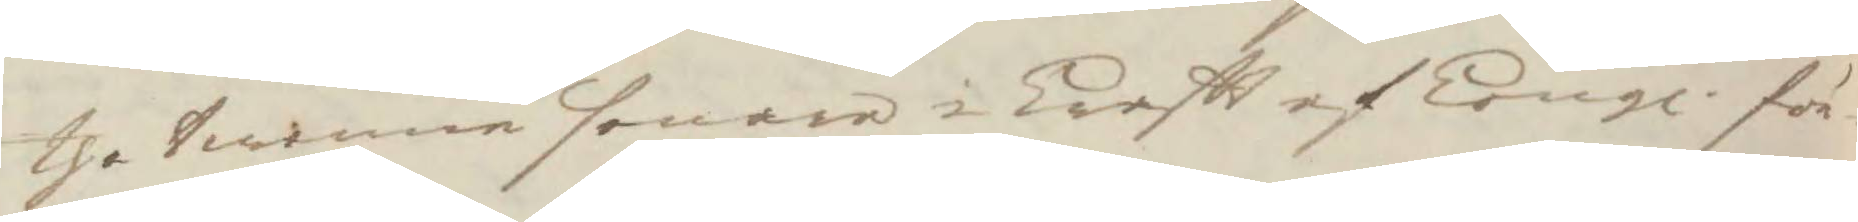the twenne senare i kraftt af Kongl: för¬ 
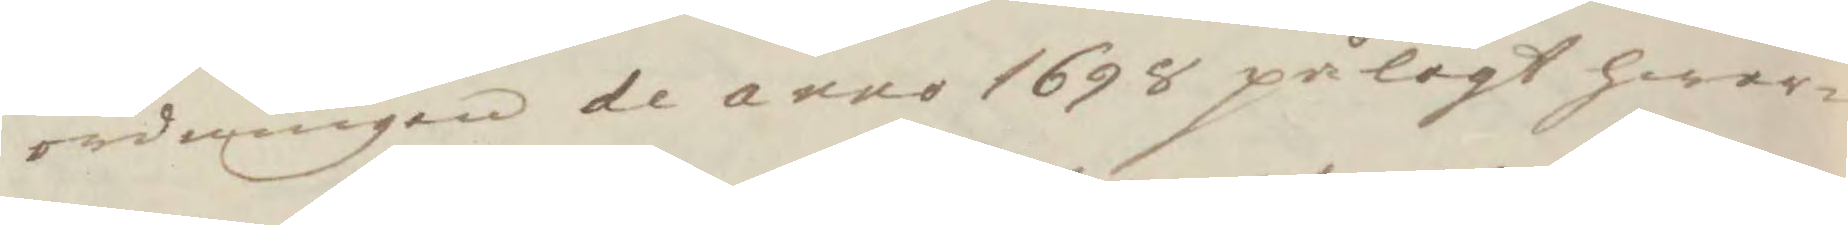ordningen de anno 1698 pålagt hwar¬
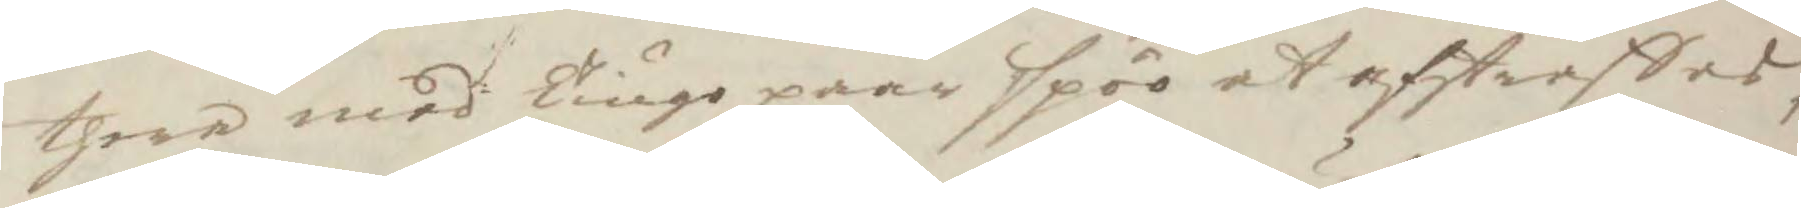thera med Tiugo paar spöö at afstraffas,
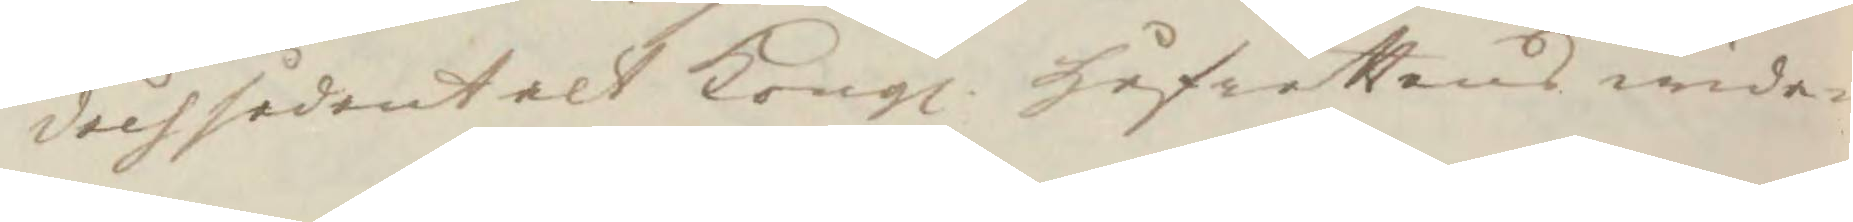doch sådant alt Kongl. Håfrättens wida¬ 
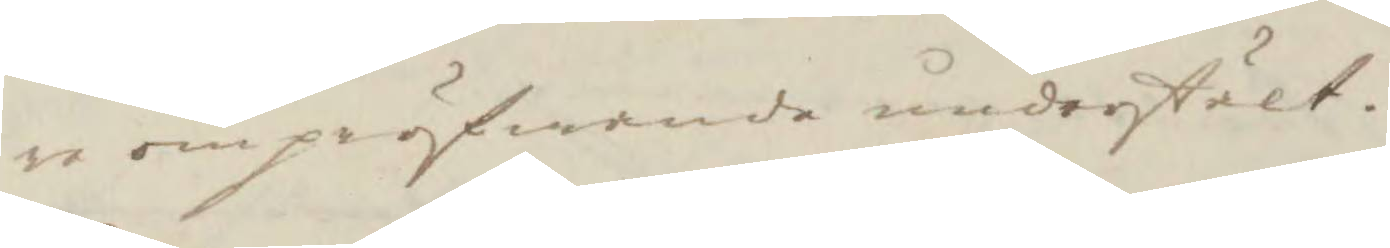re ompröfwande understält.
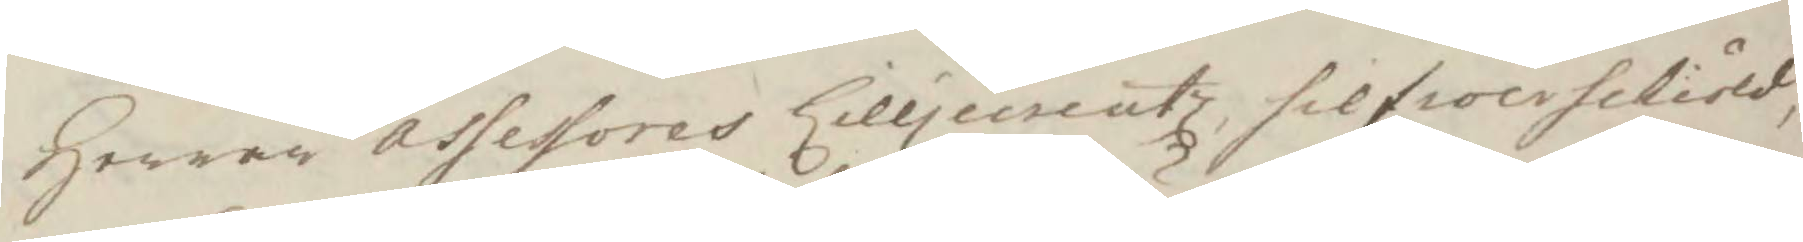Herrar Assessores Lilljecreutz, silfwerschiöld,
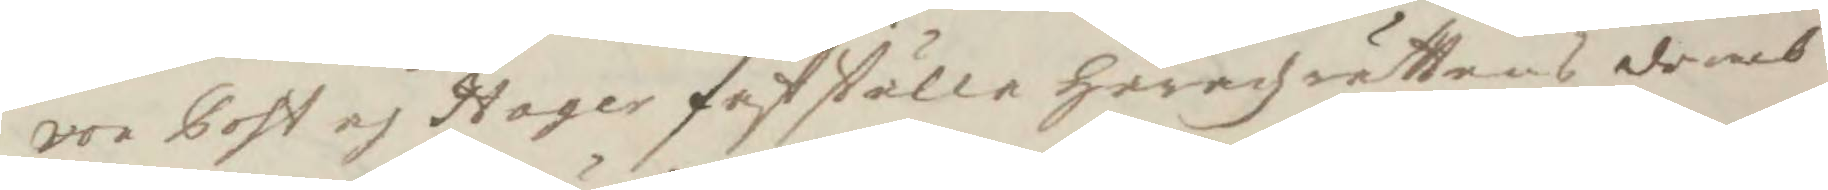von Post och Hager fastställe häradzrättens domb
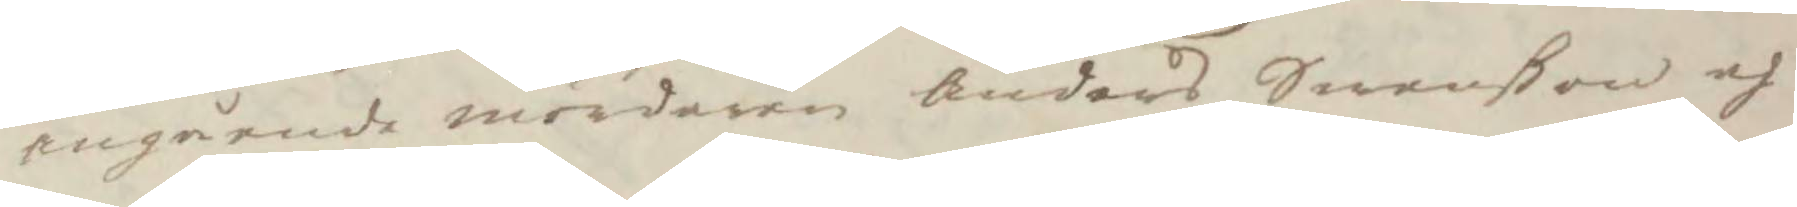angående mördaren Anders Swenßon och
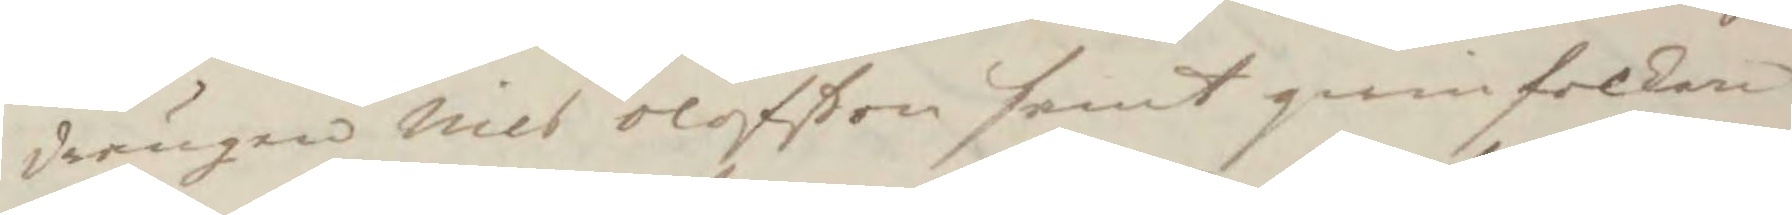drängen Nils Olofßon samt qwinfolken
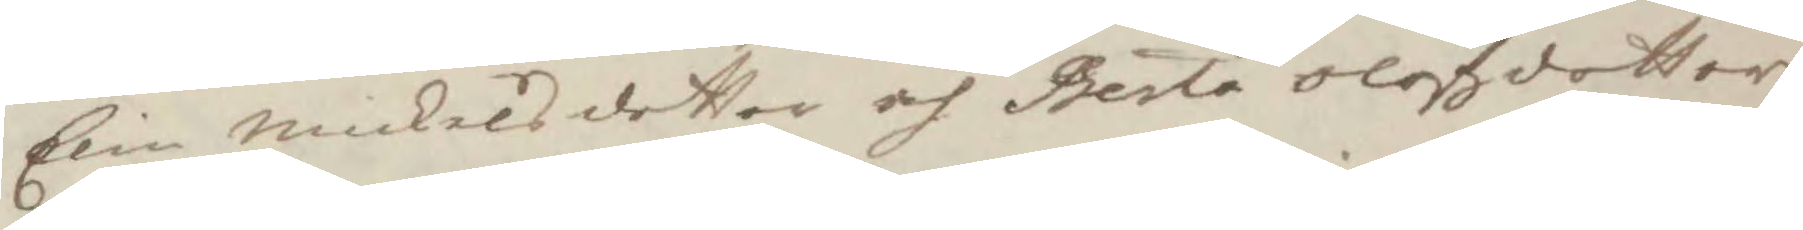Elin Mickelsdotter och Berta Olofzdotter
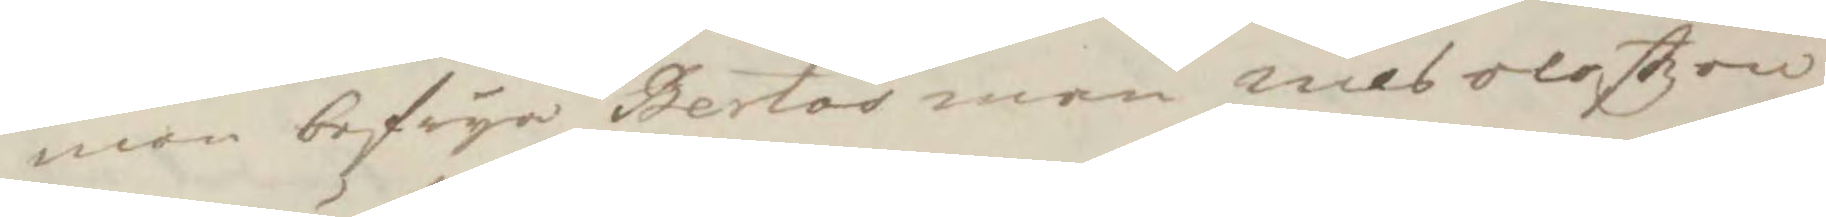men befrya Bertas man nils olestzon
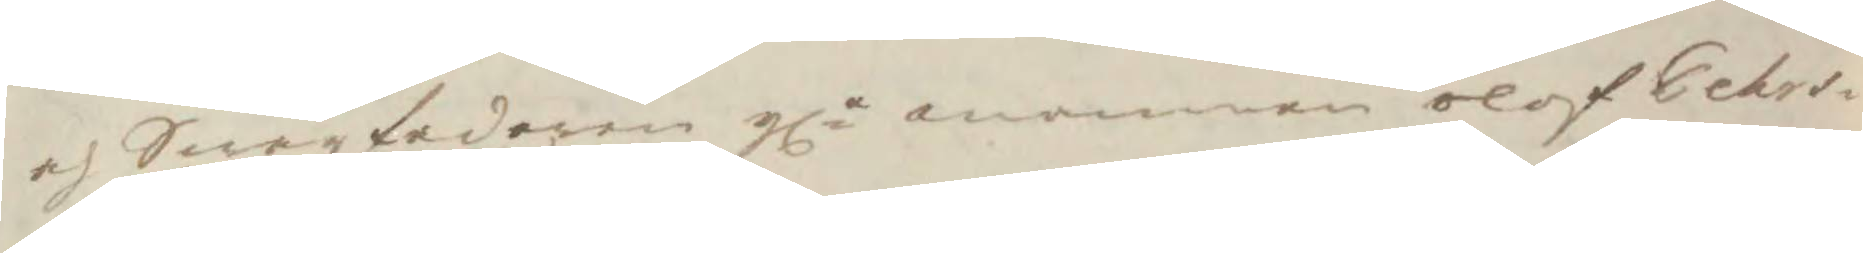och Swärfadren gla mannen olof Pehrs¬ 
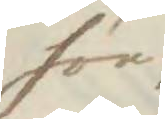son
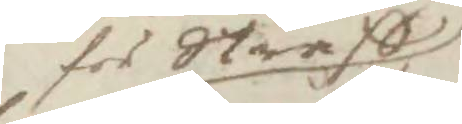för Straff
